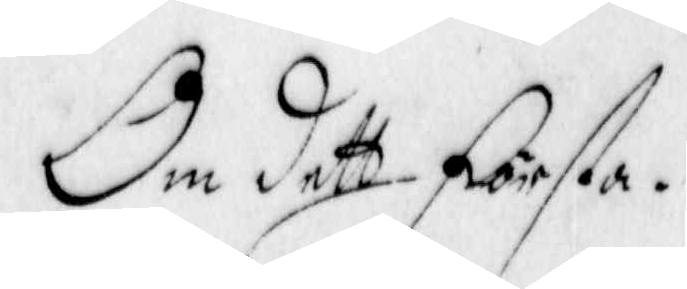Om dett Första.
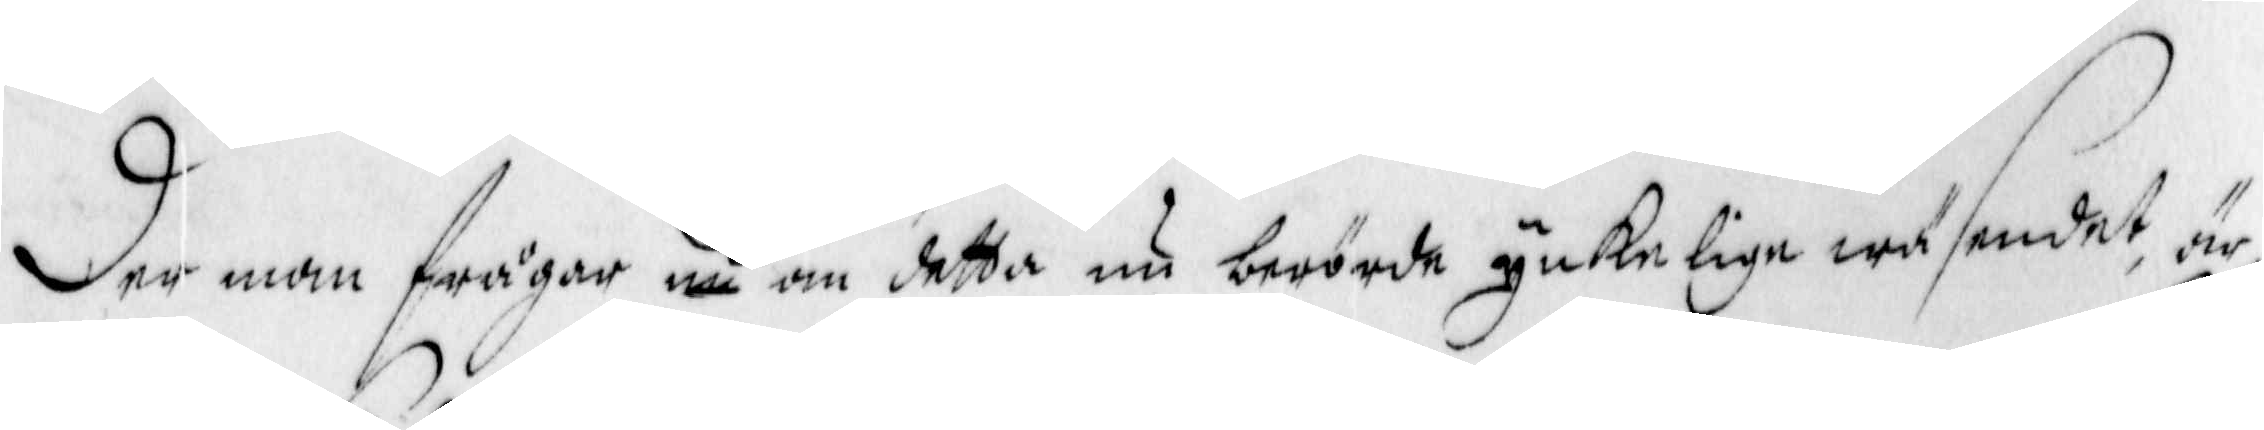Der man frågar, nu om detta nu berörde ynkelige wäsendet, är
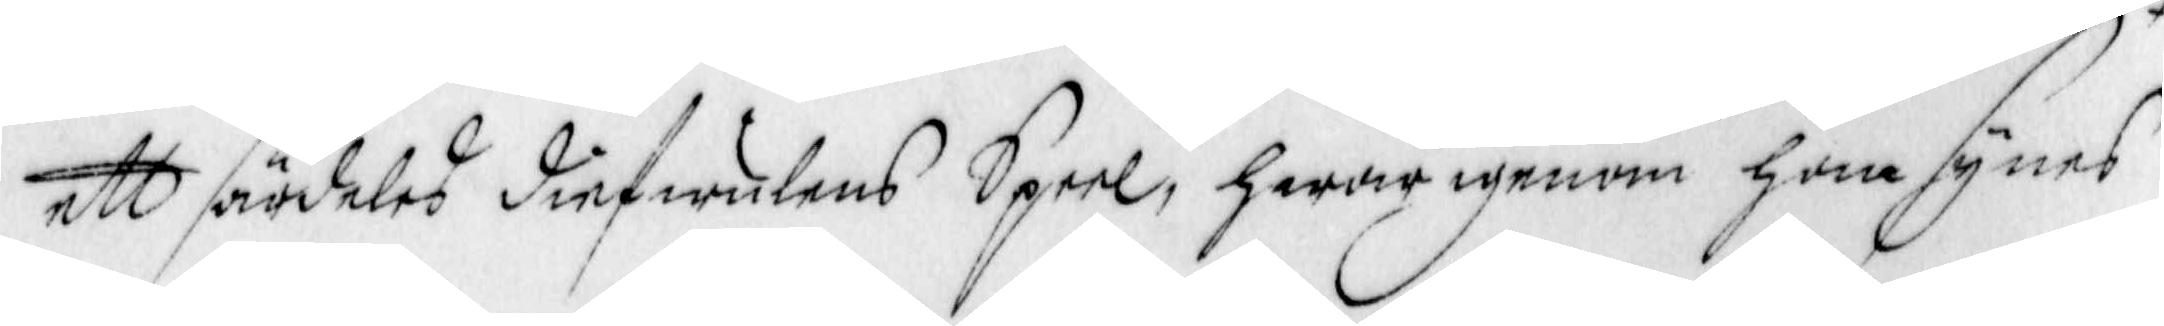ett särdeles diefwulens Speel, hwar igenom han synes
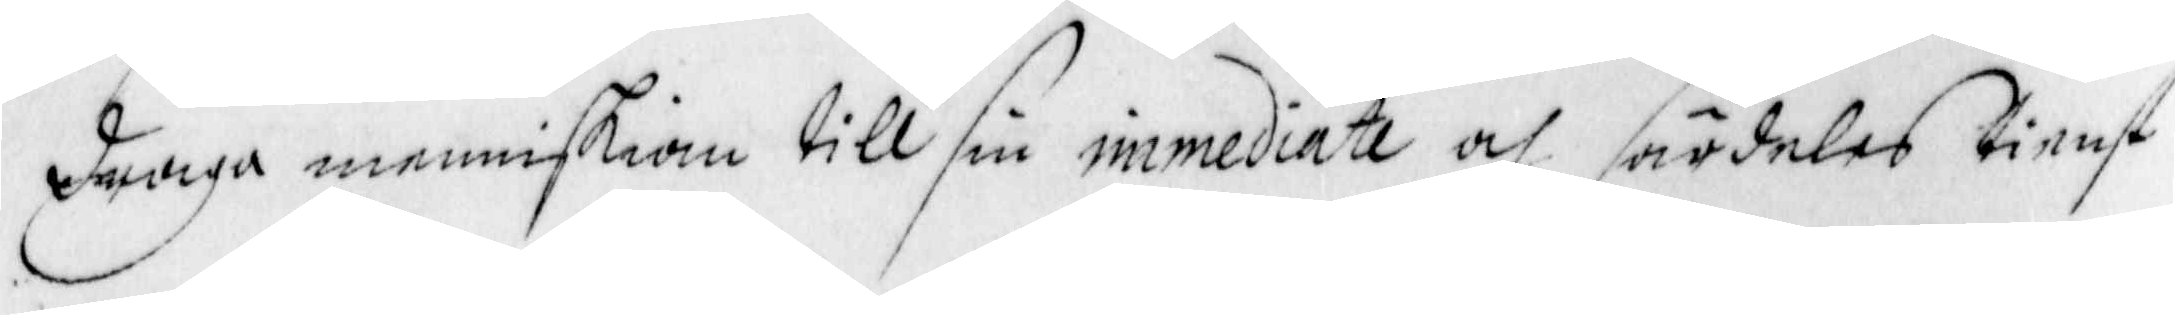draga menniskian till sin immediate och särdeles tienst
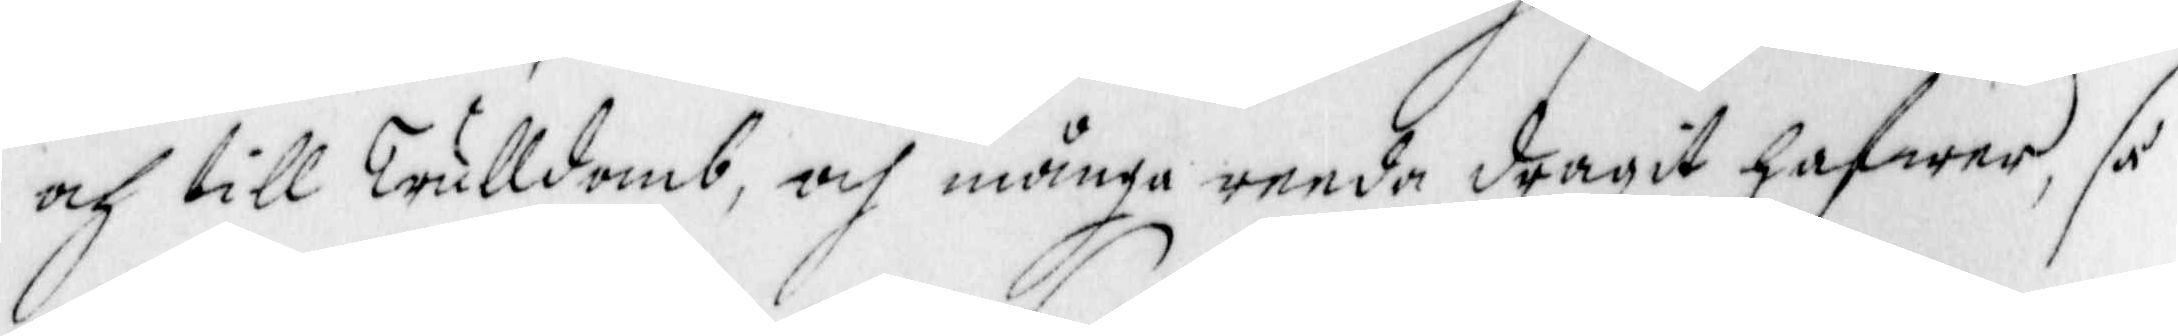och till Trulldomb, och många reeda dragit hafwer, så
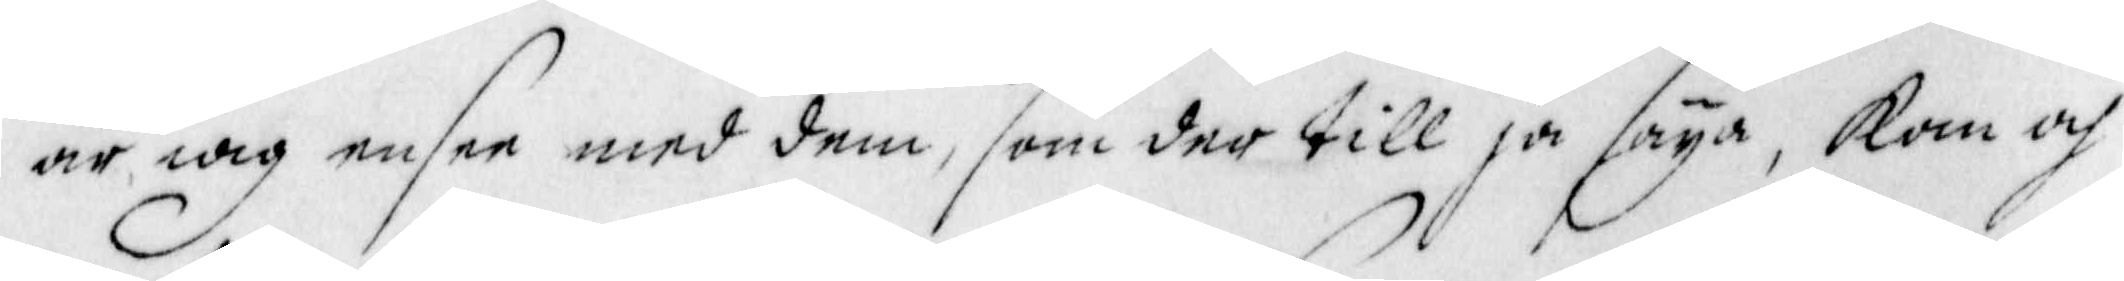är iag ensee med dem, som der till ja säya, Kan och
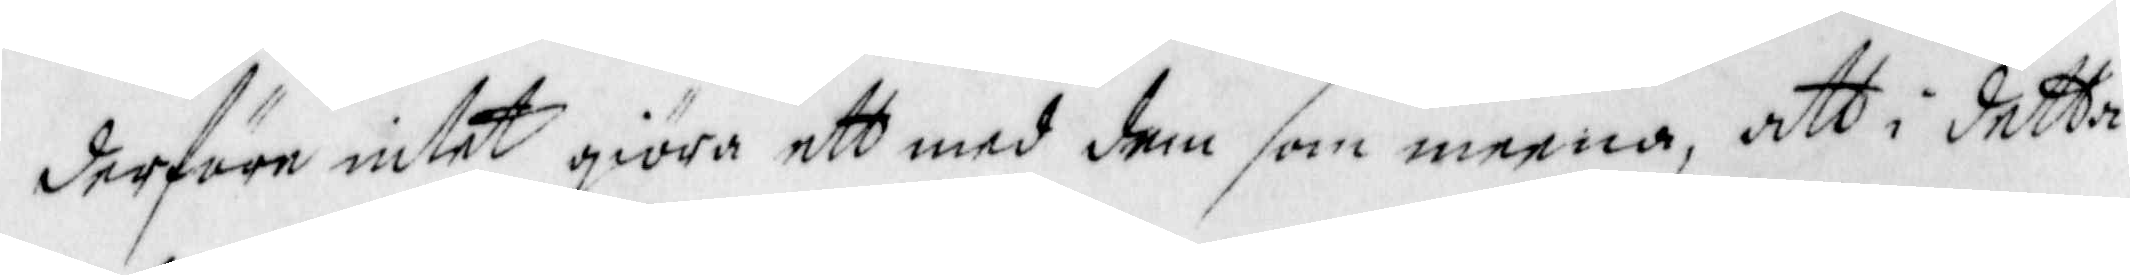derföre intet giöra ett med dem som meena, att i detta
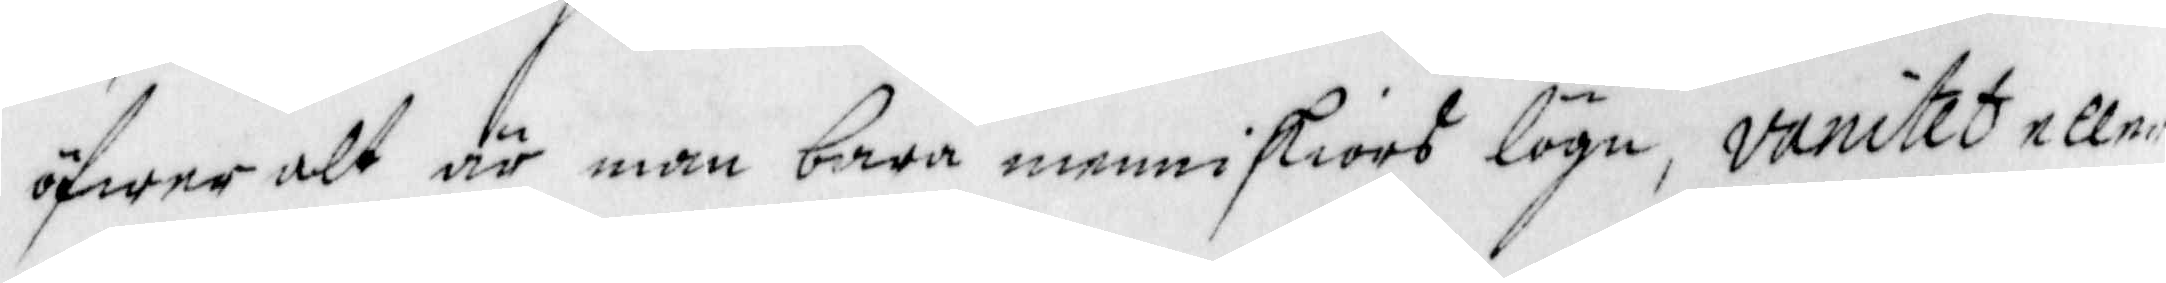öfwer alt är man bara menniskiors lögn, vanitet eller
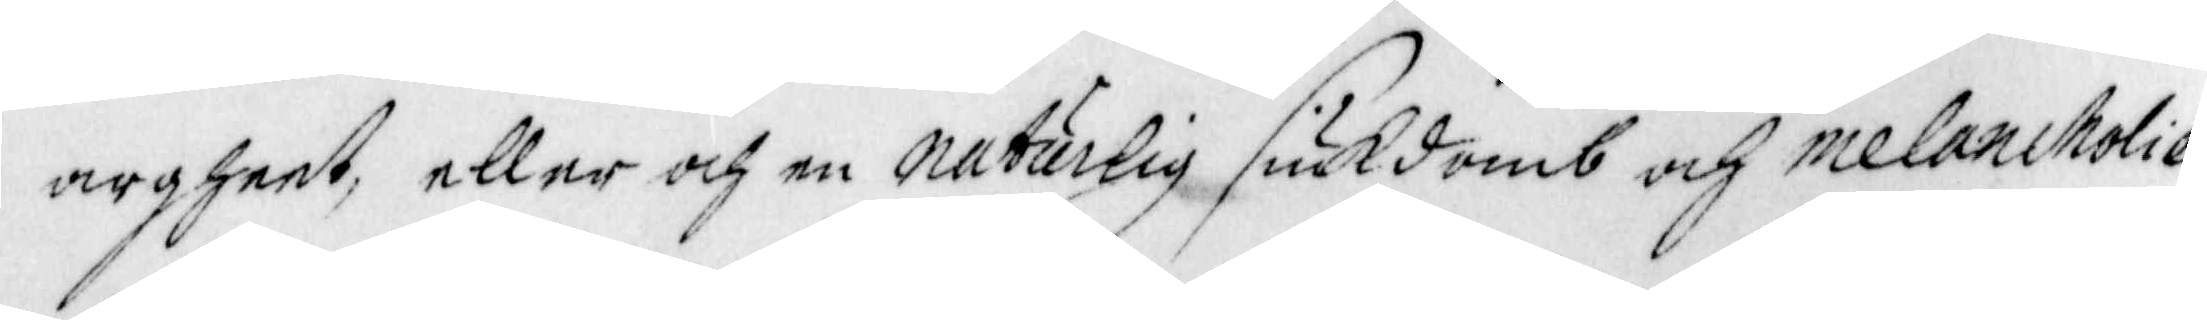argheet, eller och en naturlig siukdomb och melancholie
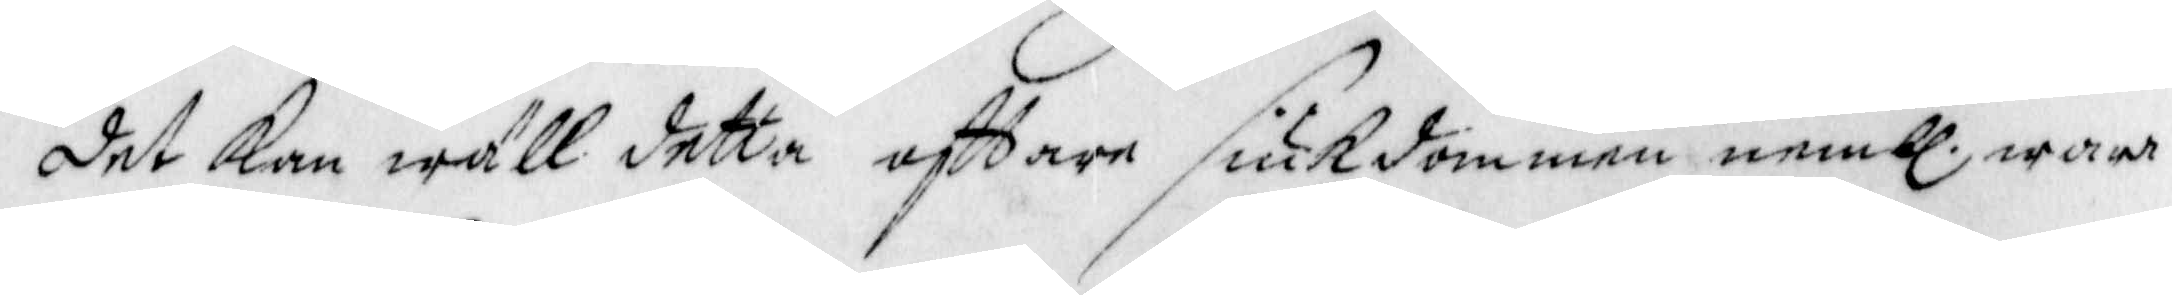det kan wäll detta offtare siukdommen nembl wara 
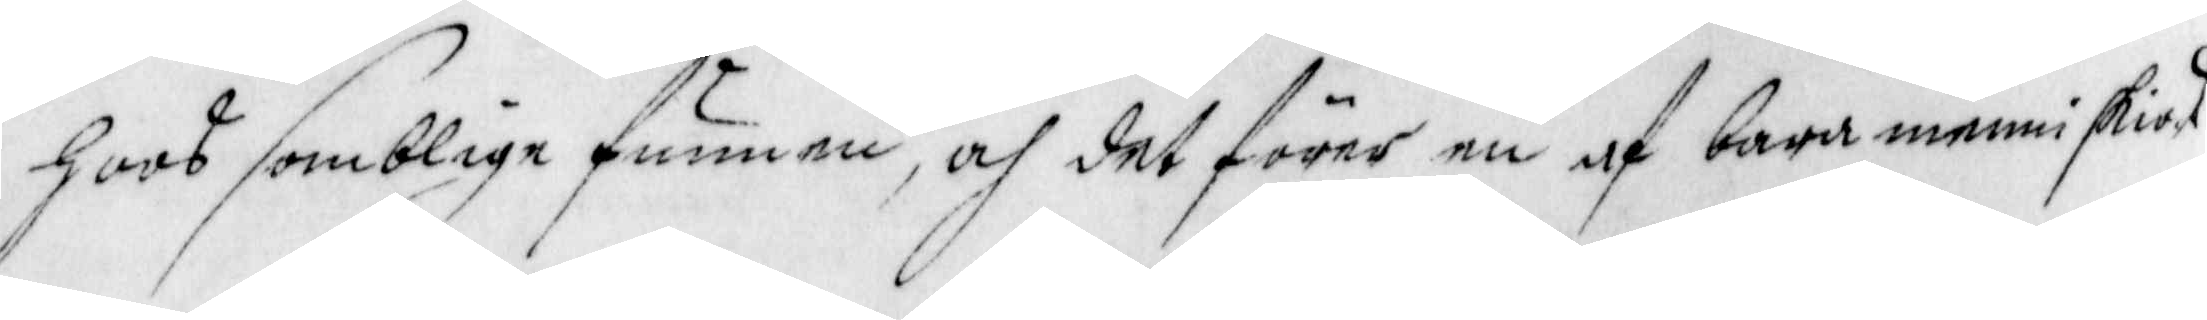hoos somblige funnen, och det förer en af bara menniskios
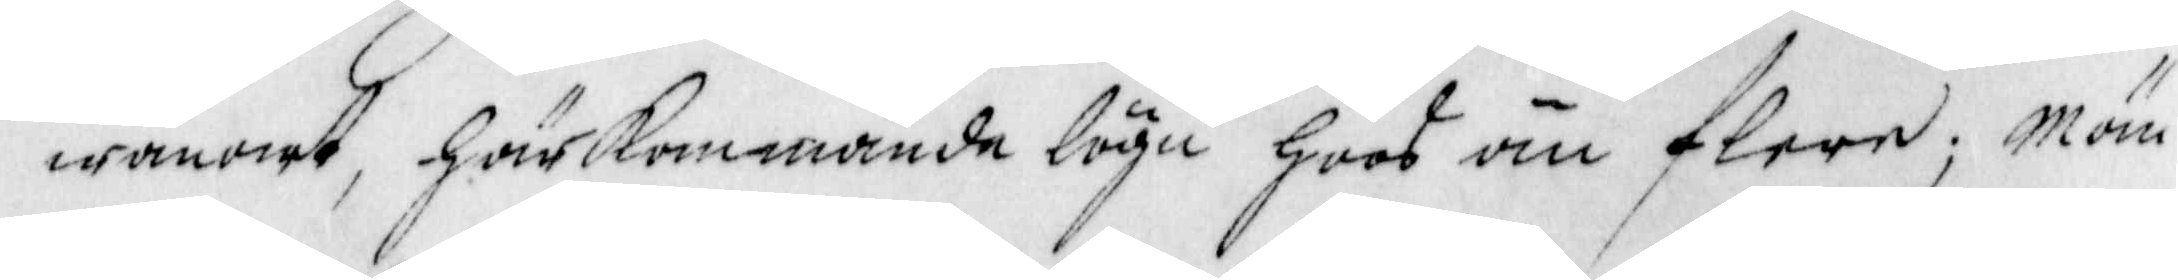wanarrt, härkommande lögn hoos än flere; Män
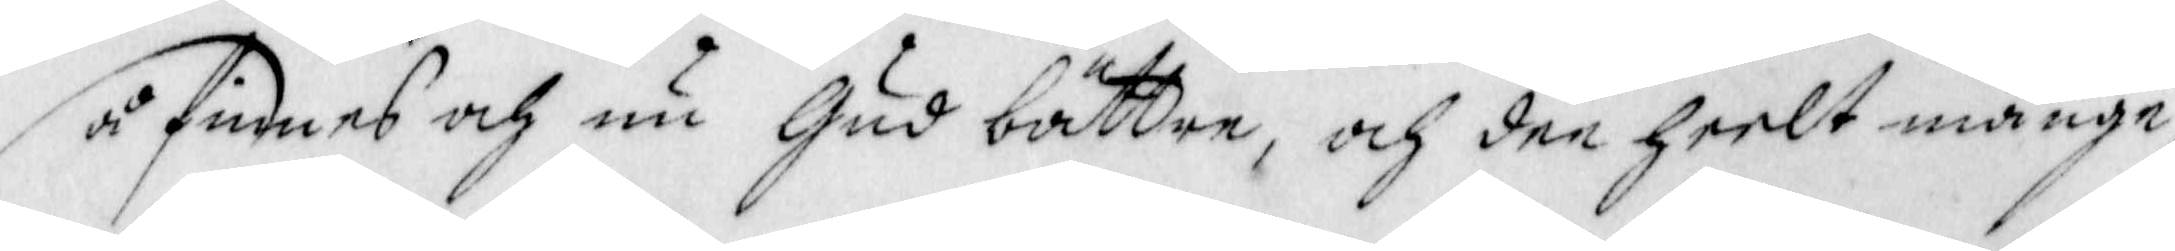så finnes och nu Gud bättre, och den heelt månge,
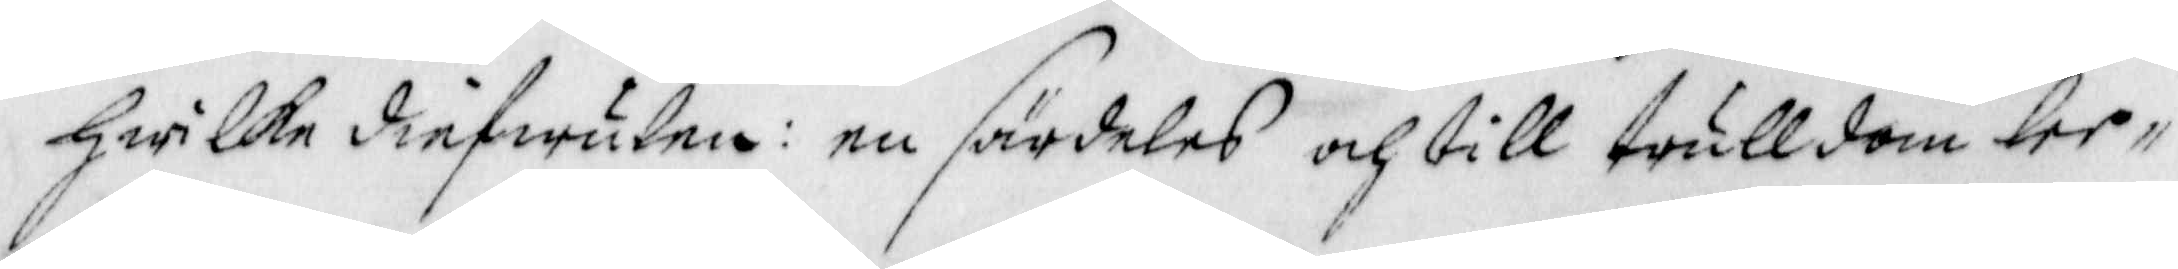hwilke diefwulen: en särdeles och till trulldom lee¬
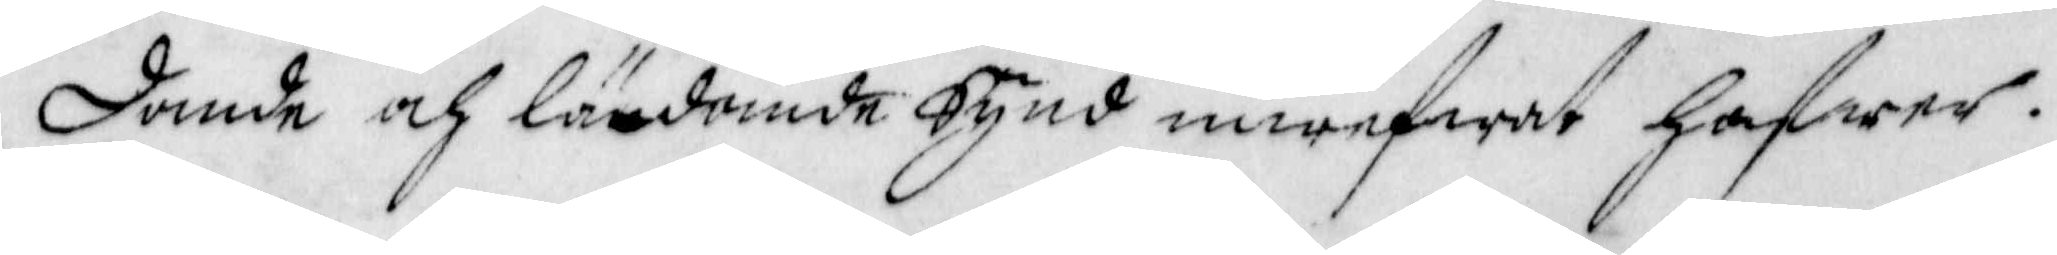dande och lärdande Synd inwefwat hafwer.
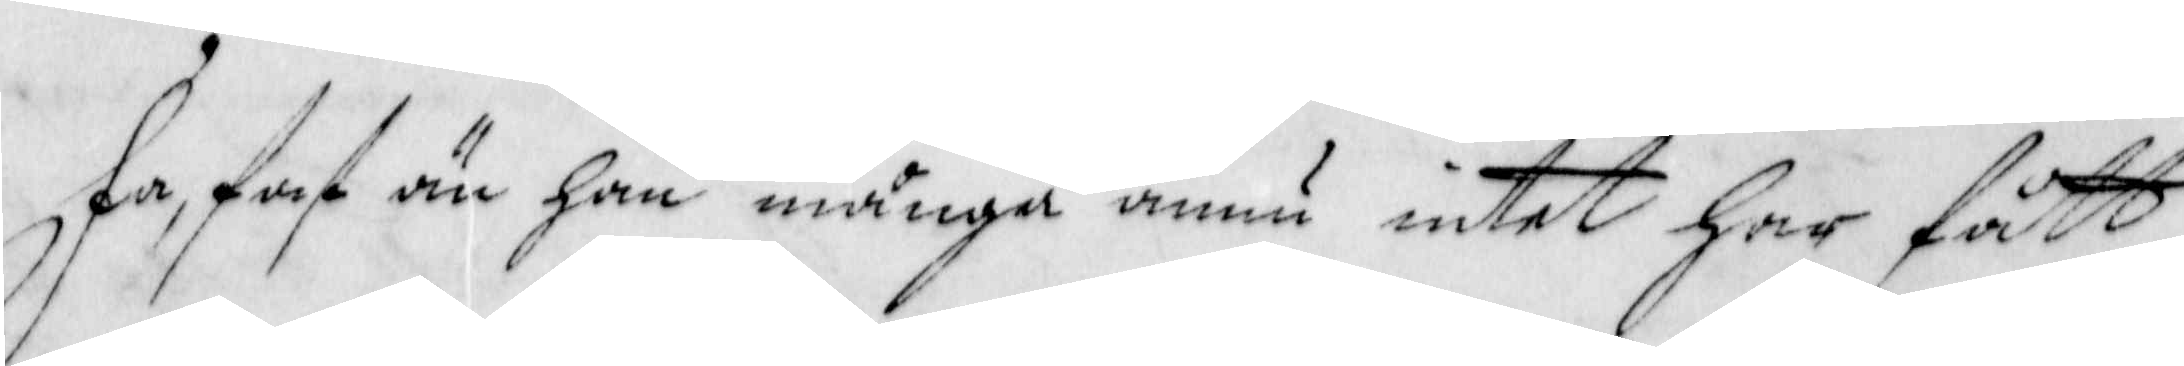Få, fast än han många ännu intet har fått
